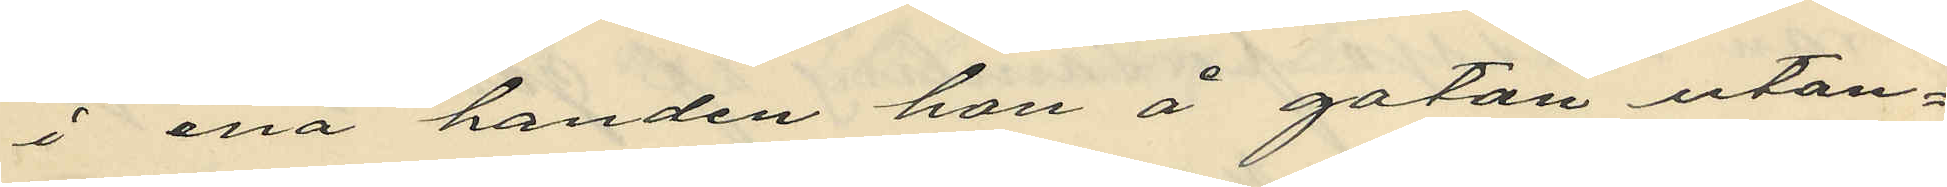i ena handen å gatan utan¬
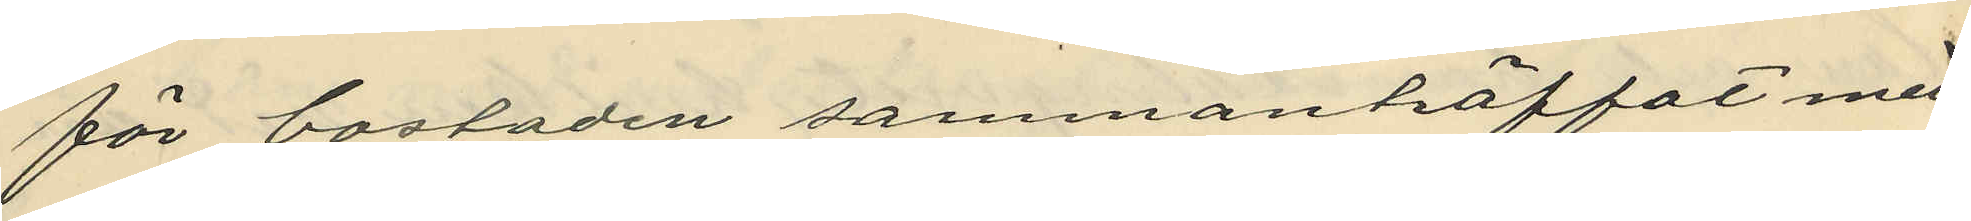för bostaden sammanträffat med
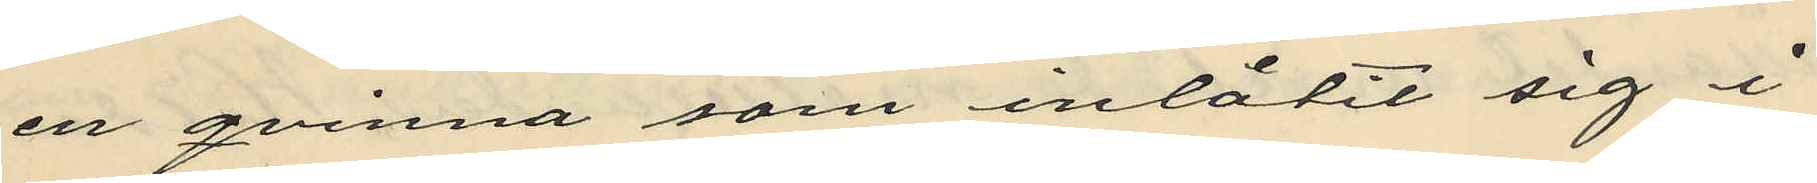en qvinna som inlåtit sig i
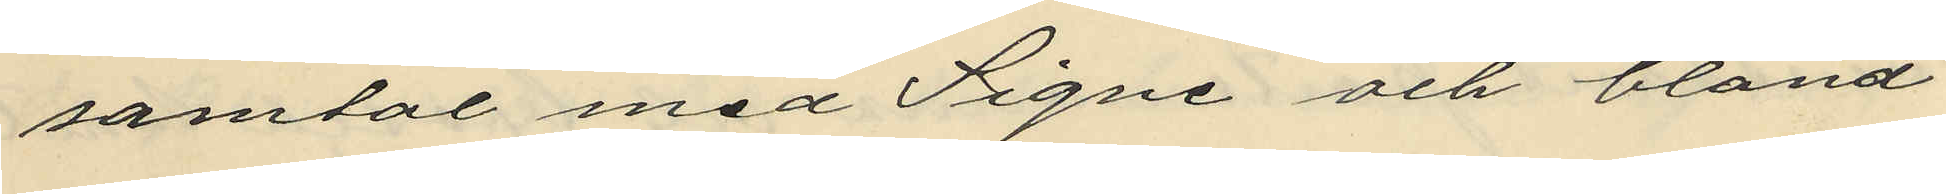samtal med Signe och bland
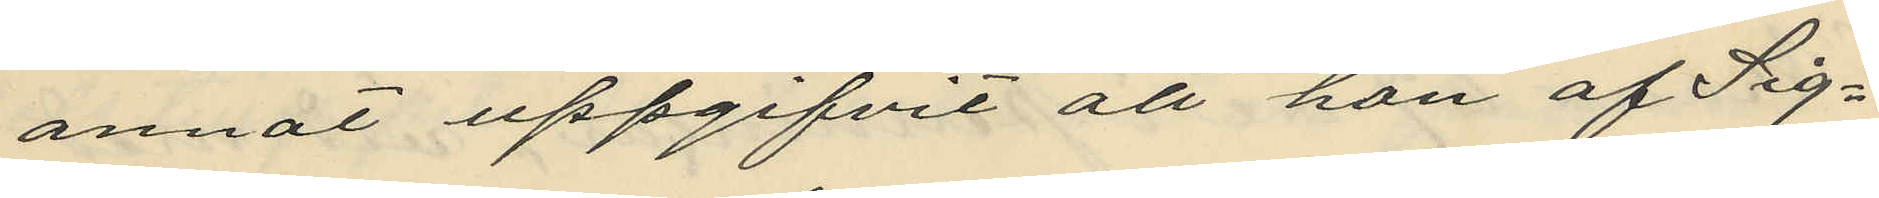annat uppgifvit att hon af Sig¬
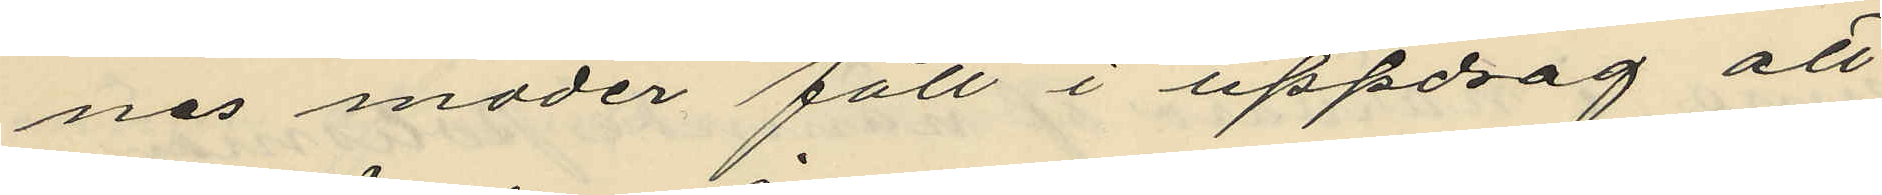nes moder fått i uppdrag att
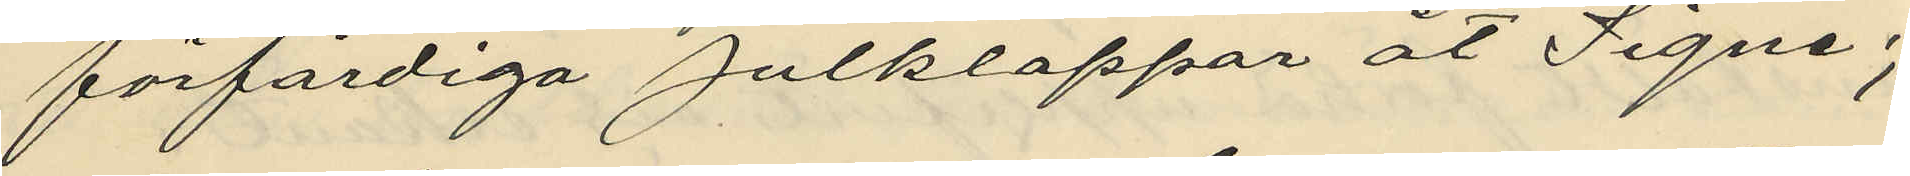förfärdiga Julklappar åt Signe;
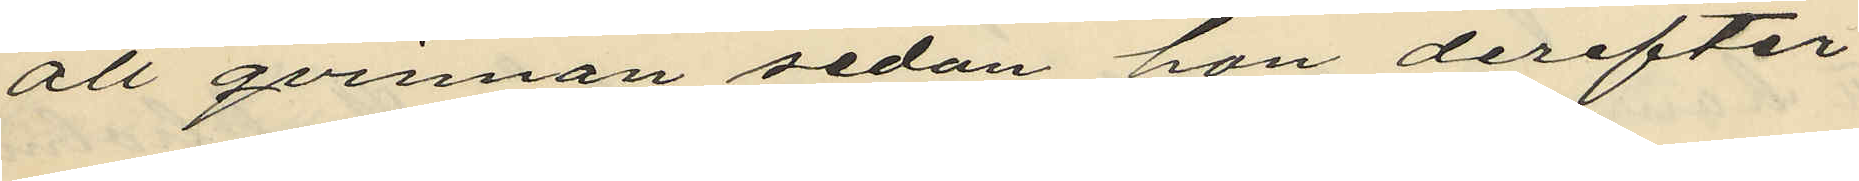att qvinnan sedan hon derefter
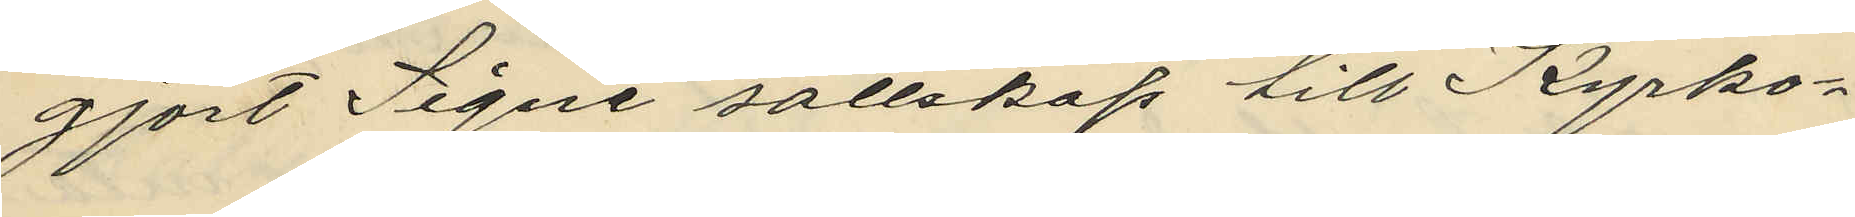gjort Signe sällskap till Kyrko¬
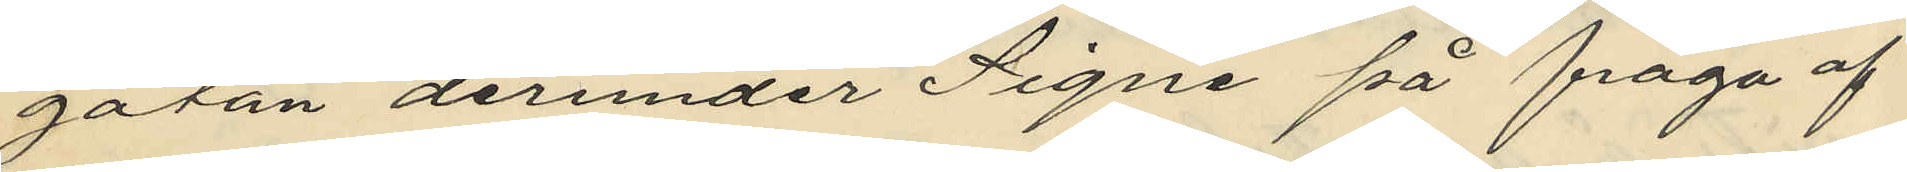gatan derunder Signe på fråga af
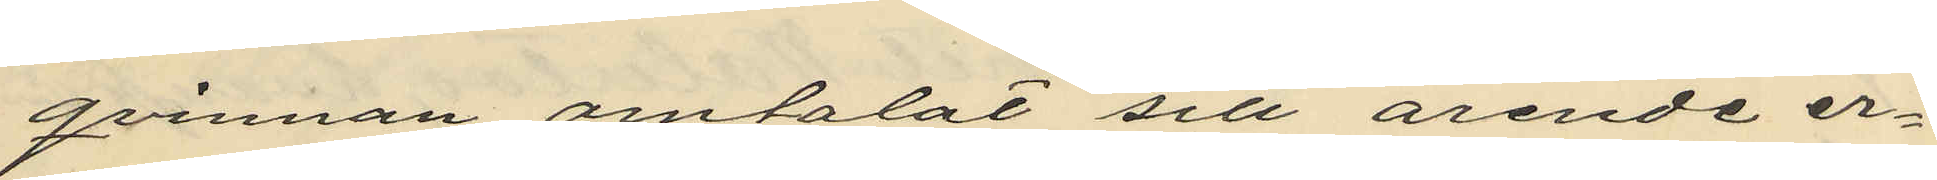qrinnan omtalat sitt ärende er¬
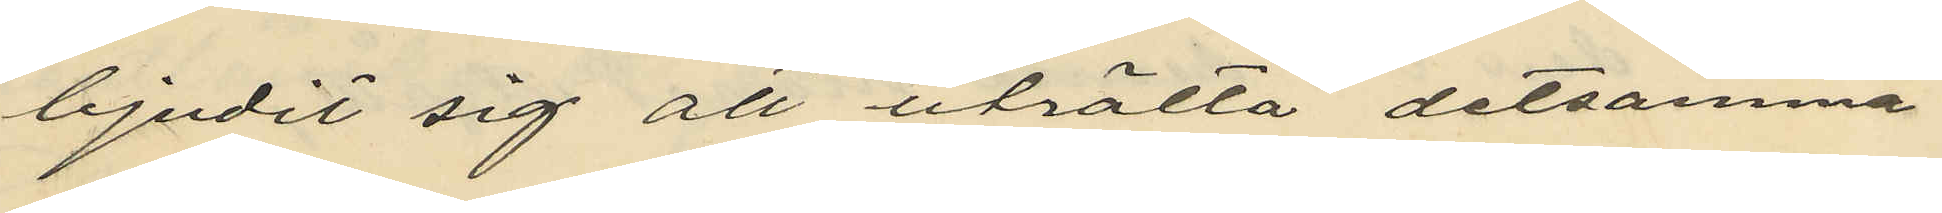bjudit sig att uträtta detsamma
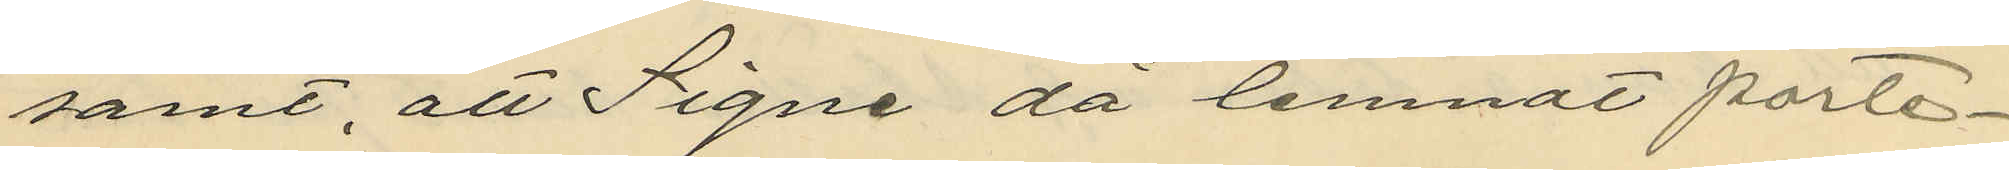samt, att Signe då lemnat porte¬
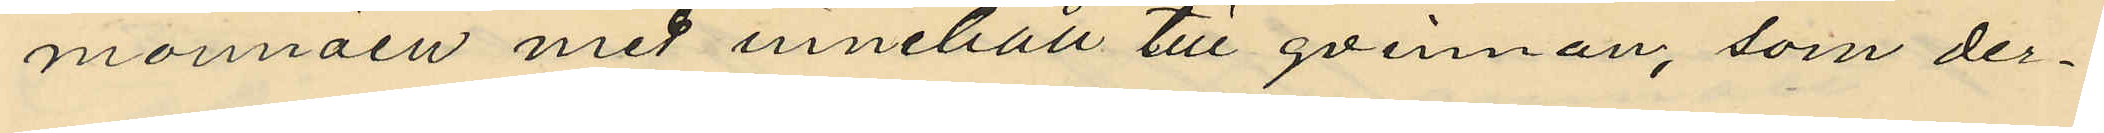monnäen med innehåll till qvinnan, som der¬
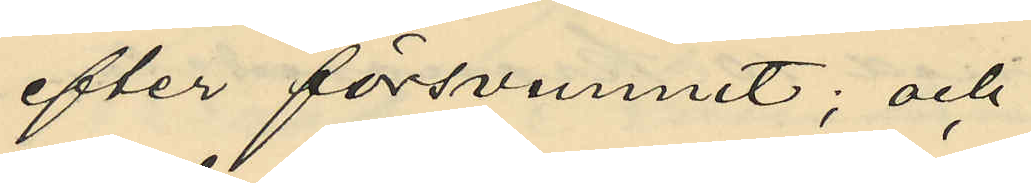efter försvnnit; och
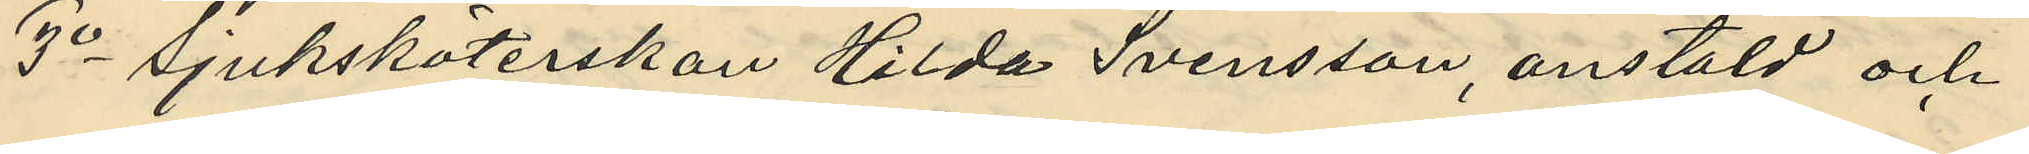3o sjuksköterskan Hilda Svensson, anstäld och
